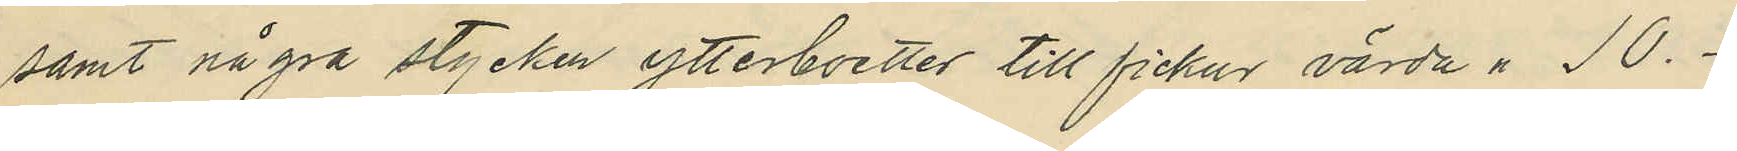samt några stycken ytterboetter till fickur värda " 10.
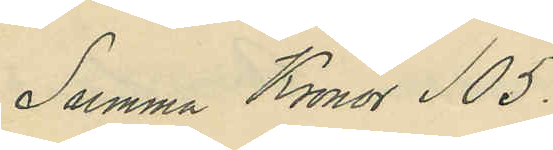Summa Kronor 105.
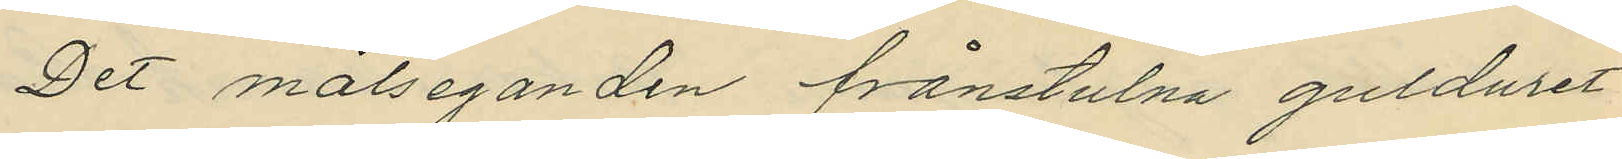Det målseganden frånstulna gulduret
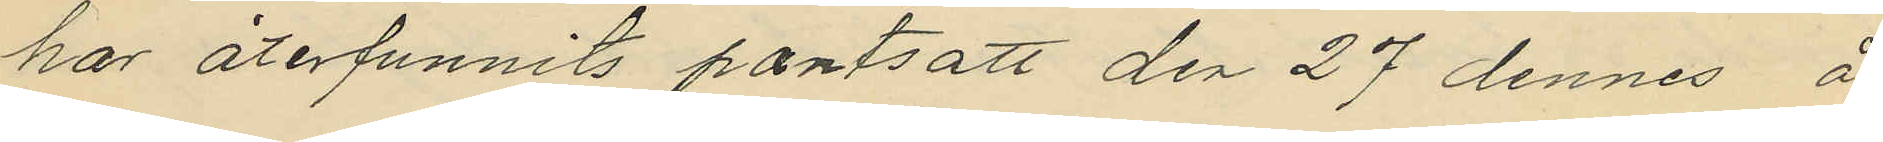har återfunnits pantsatt den 27 dennes å
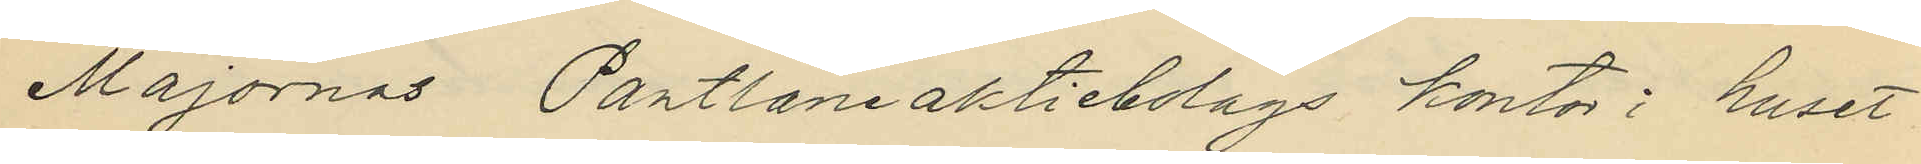Majornas Pantlåneaktiebolags kontor i huset
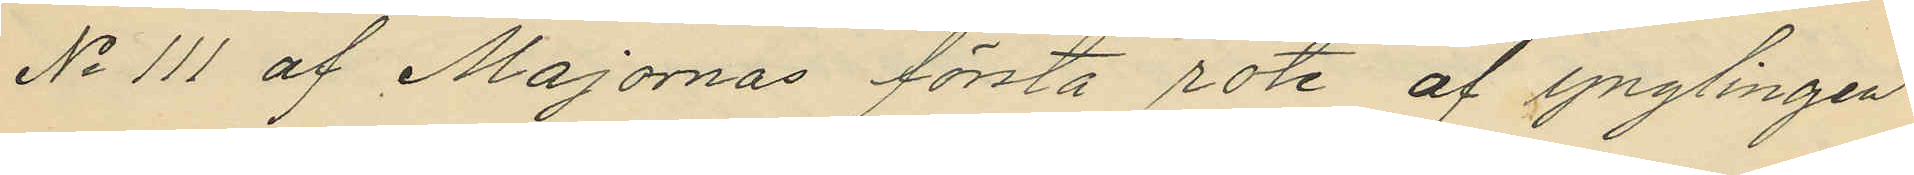No 111 af Majornas första rote af ynglingen
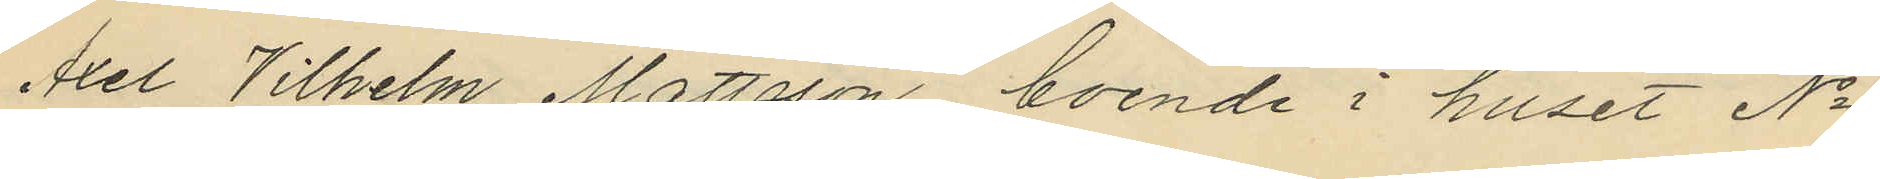Axel Vilhelm Mattsson, boende i huset No
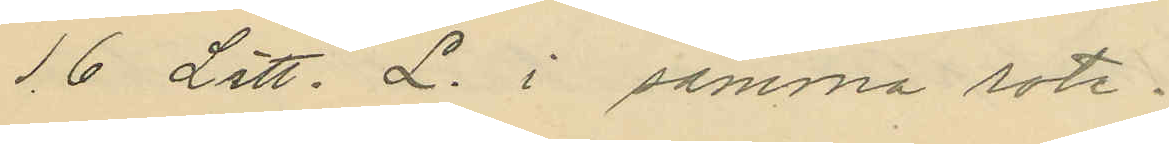16 Litt. L. i samma rote.
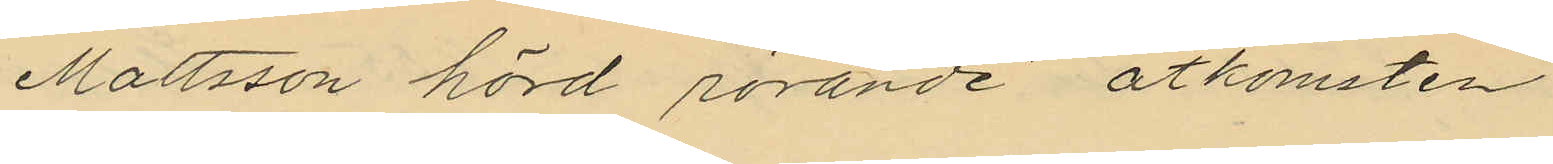Mattsson hörd rörande åtkomsten
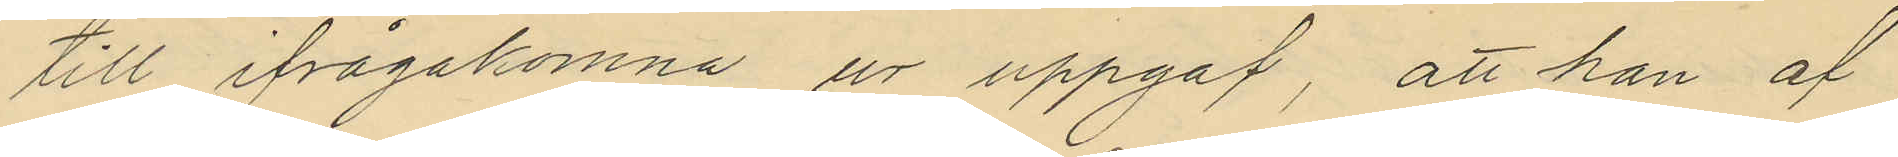till ifrågakomne ur uppgaf, att han af
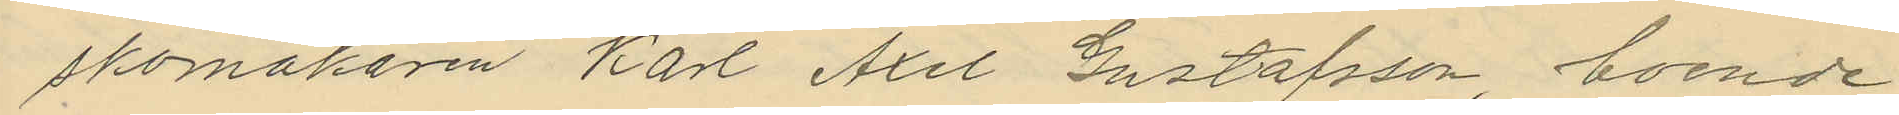skomakaren Karl Axel Gustafsson, boende
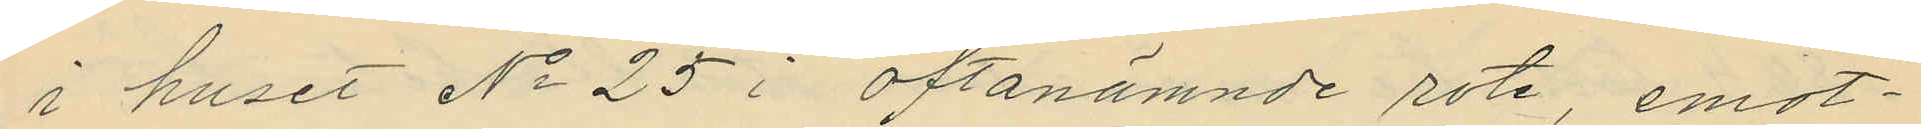i huset No 25 i oftanämnde rote, emot¬
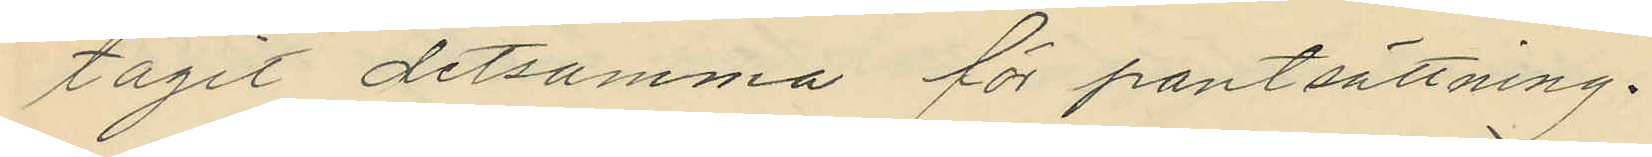tagit detsamma för pantsättning.
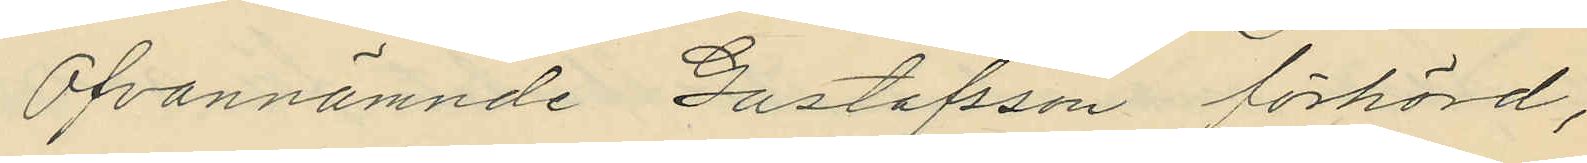Ofvannämnde Gustafsson förhörd,
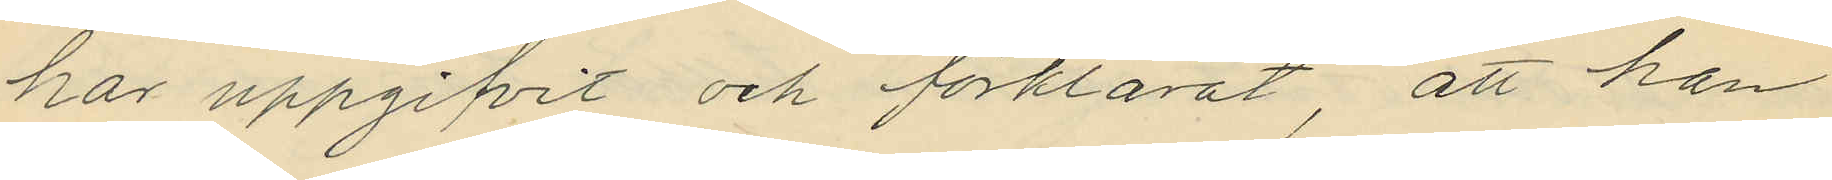har uppgifvit och förklarat, att han
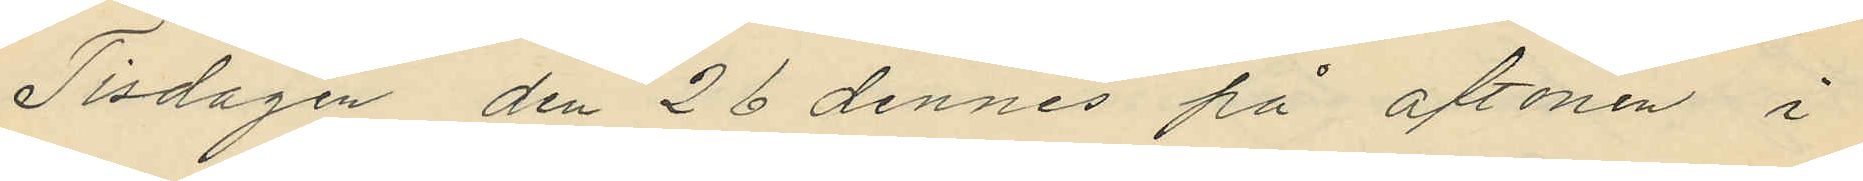Tisdagen den 26 dennes på aftonen i
